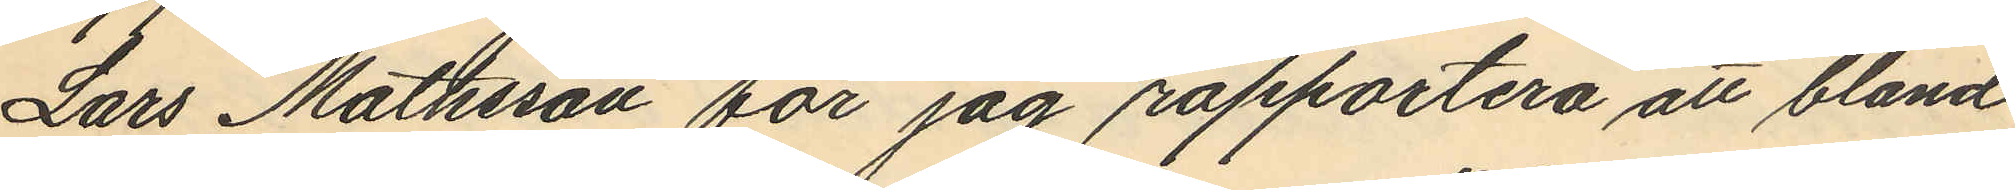Lars Mathsson får jag rapportera att bland
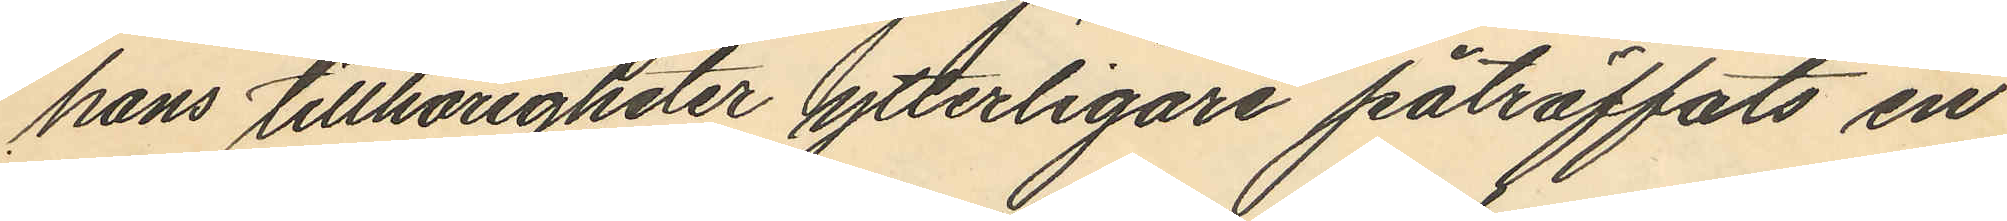hans tillhörigheter ytterligare påträffats en
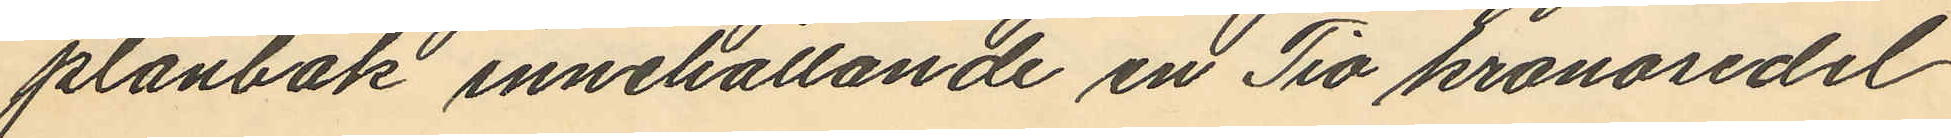plånbok innehållande en Tio kronosedel
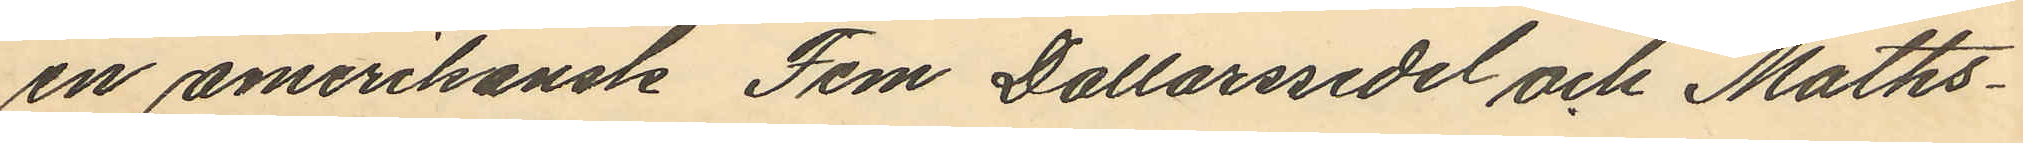en amerikansk Fem Dollarssedel och Maths¬
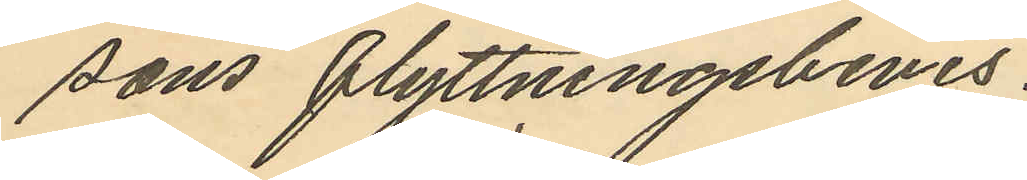sons flyttningsbevis.
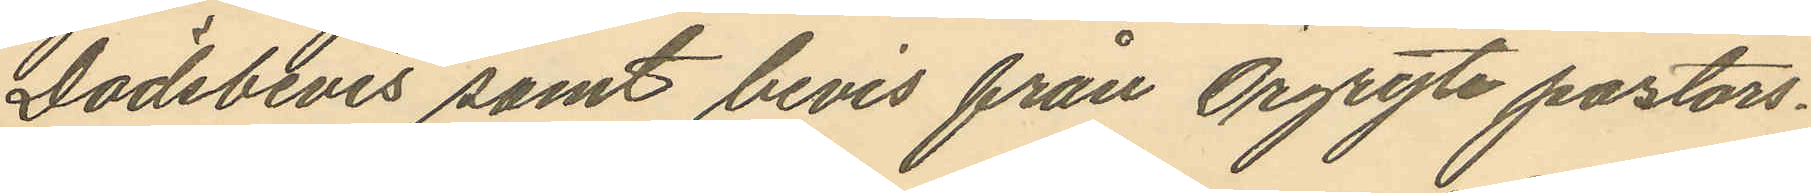Dödsbevis samt bevis från Örgryte pastors¬
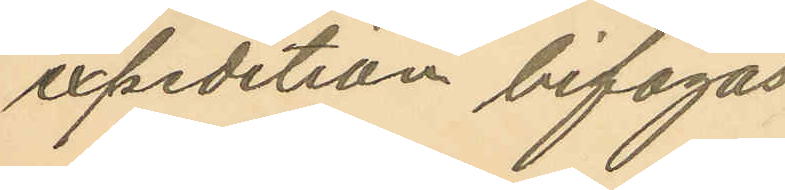expedition bifogas.
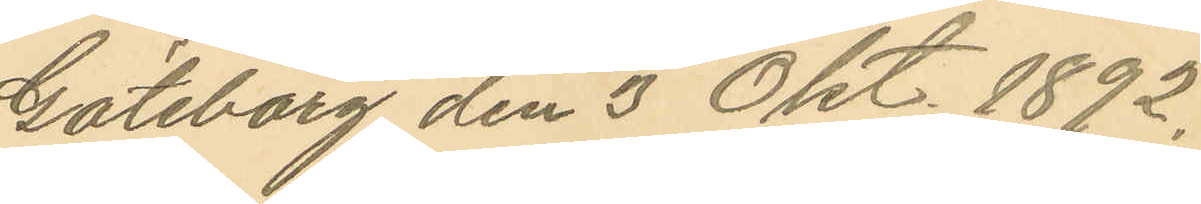Göteborg den 3 Okt. 1892.
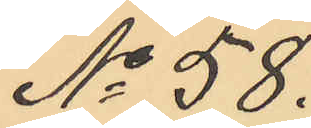No 58.
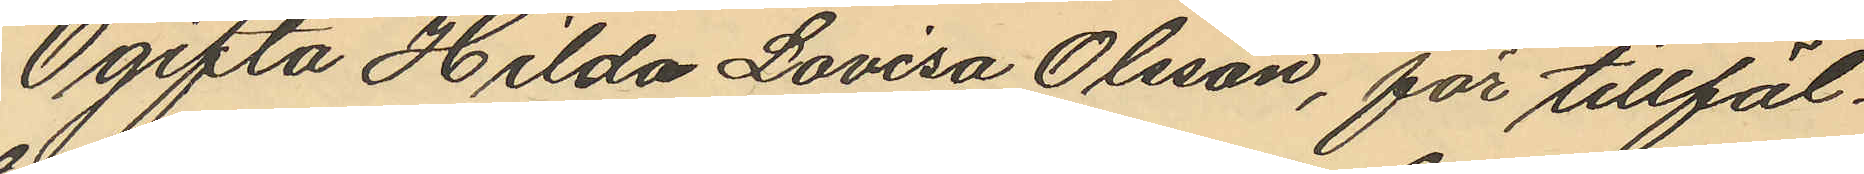Ogifta Hilda Lovisa Olsson, för tillfäl¬
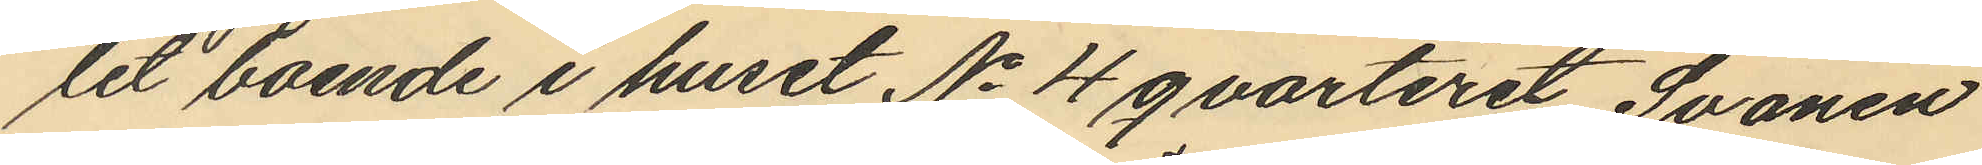let boende i huset No 4 qvarteret Svanen
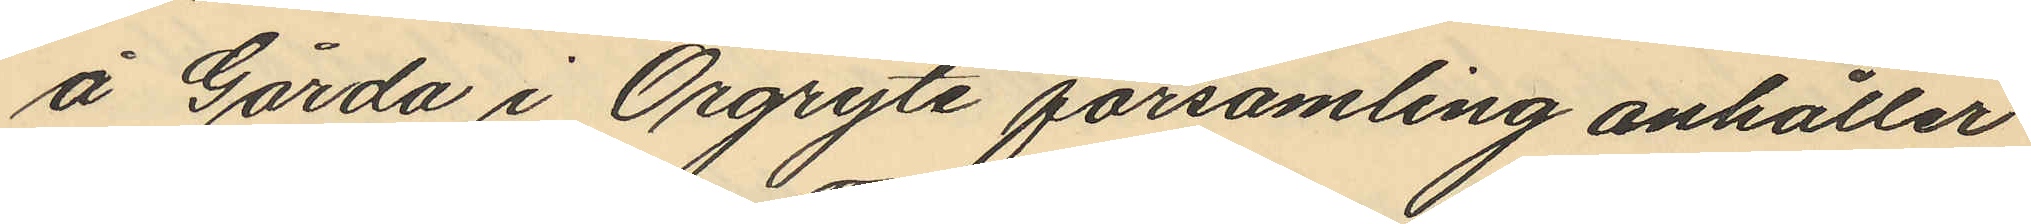å Gårda i Örgryte församling anhåller
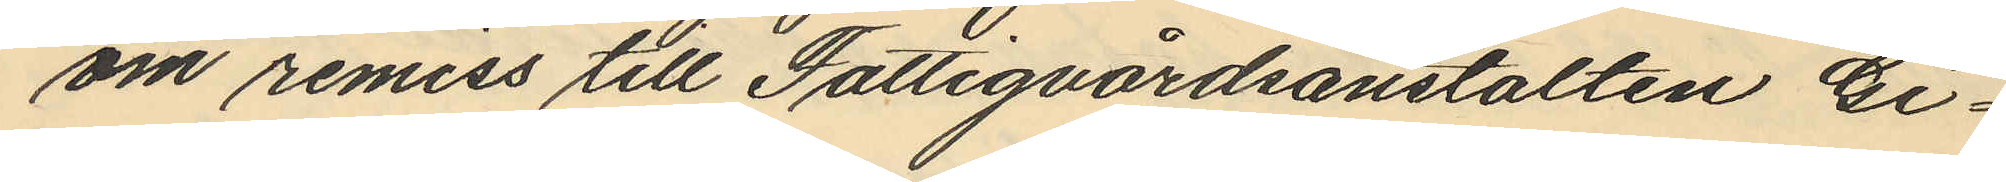om remiss till Fattigvårdsanstalten Gi¬
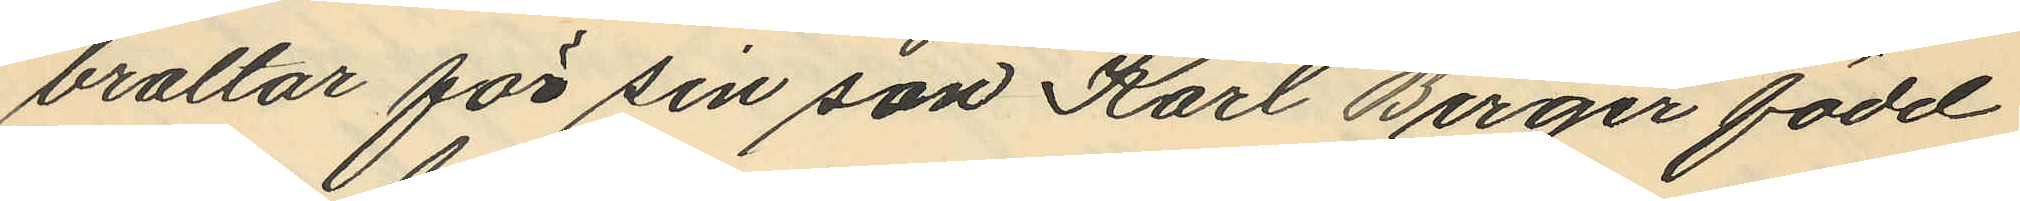braltar för sin son Karl Birger född
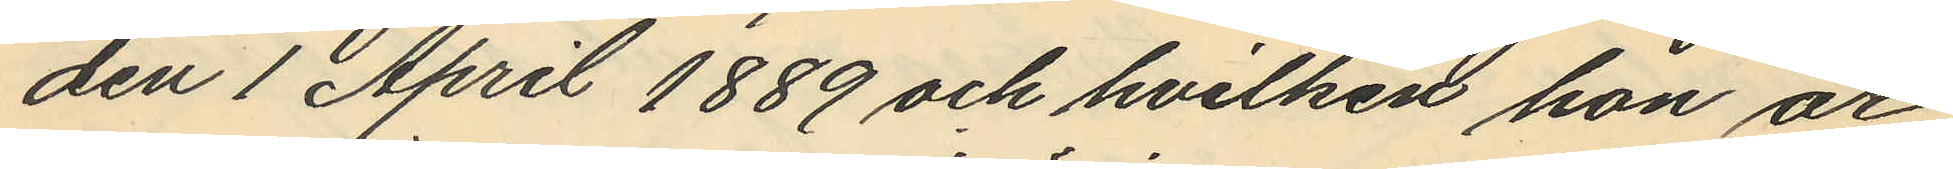den 1 April 1889 och hvilken hon är
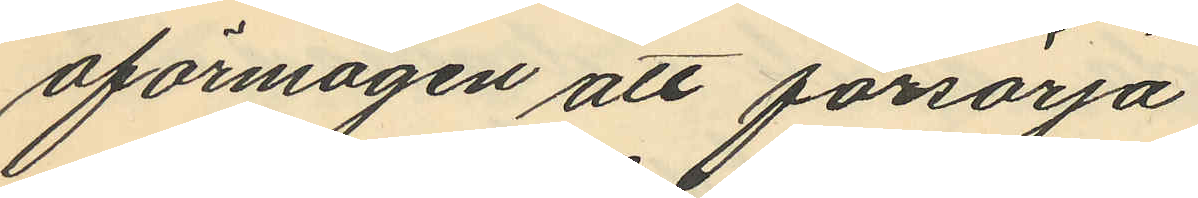oförmågen att försörja
